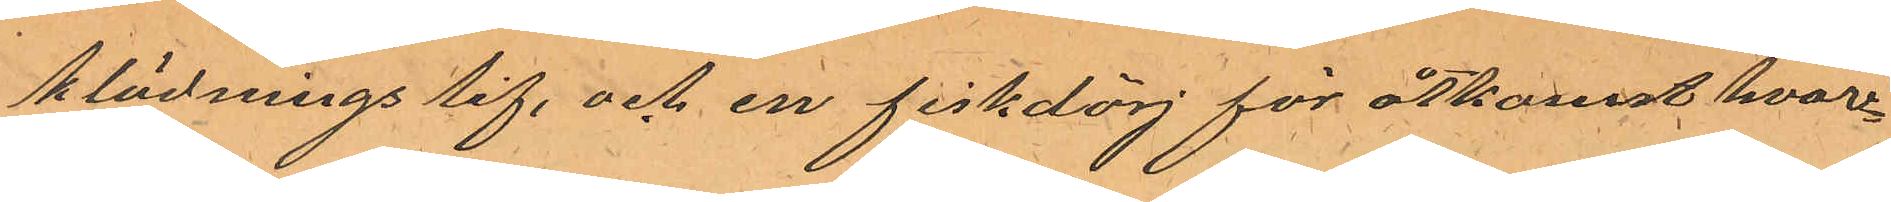klädnings lif, och en fiskdörj för åtkomst hvar¬
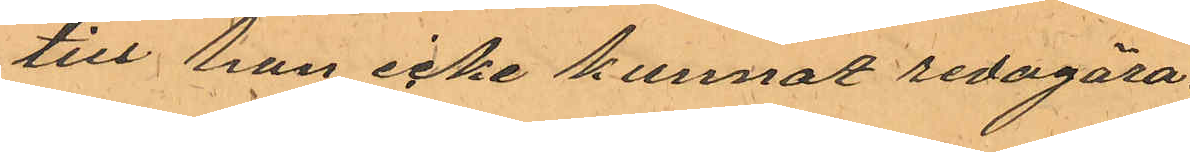till han icke kunnat redogöra.
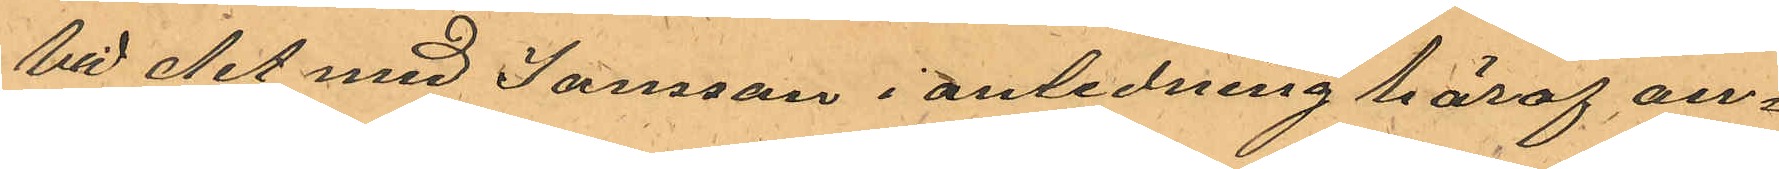Vid det med Jansson i anledning häraf an¬
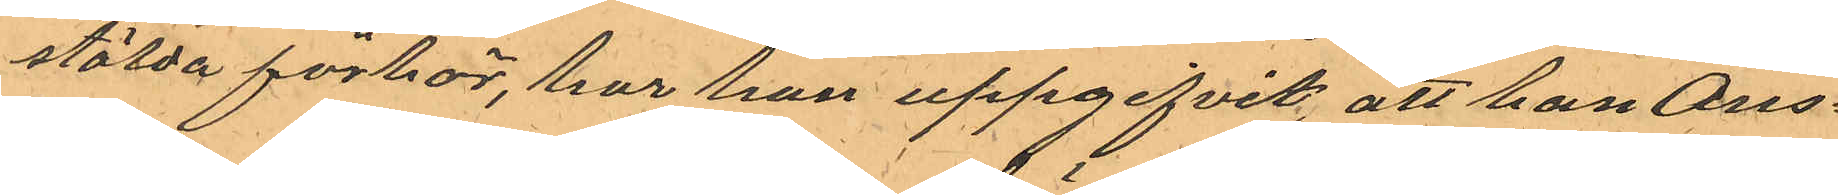stälda förhör, har han uppgifvit, att han Ons¬
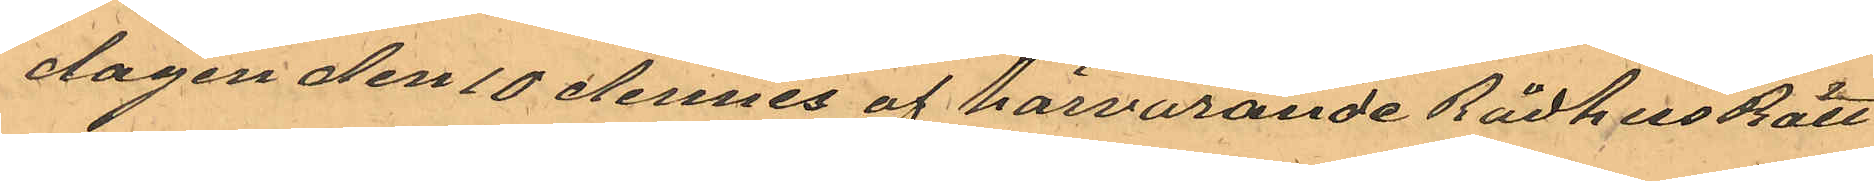dagen den 10 dennes af härvarande RådhusRätt
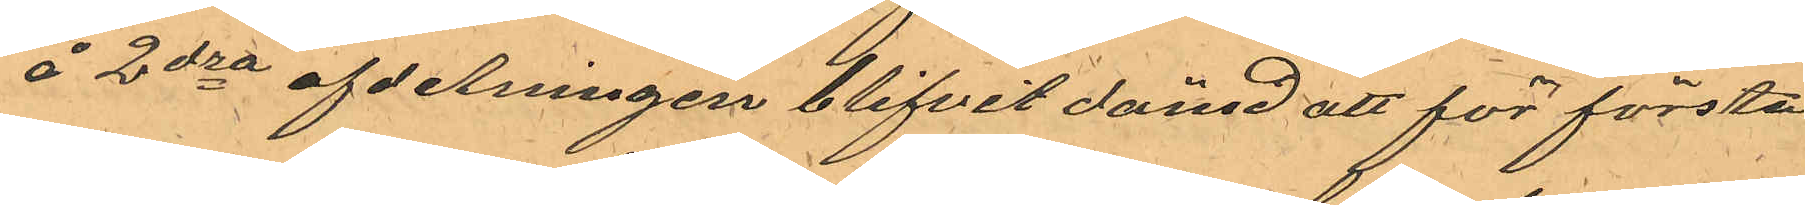å 2dra afdelningen blifvit dömd att för första
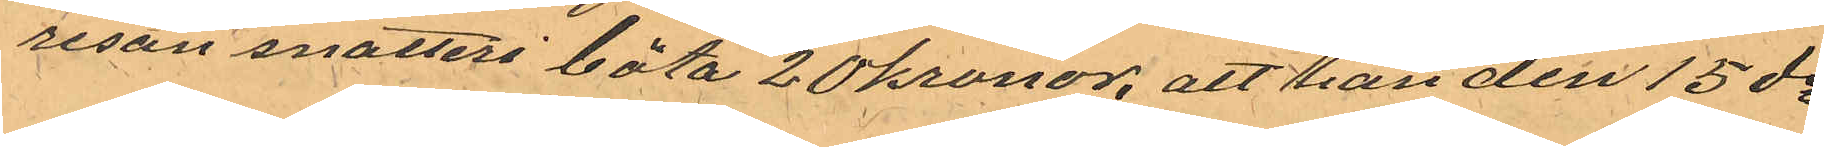resan snatteri böta 20 kronor, att han den 15 ds
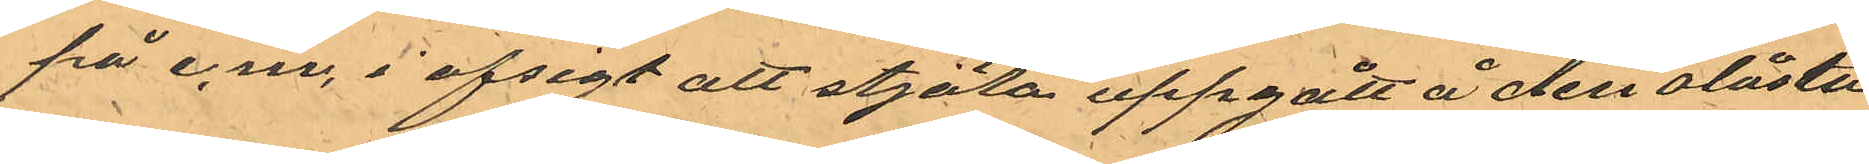på e.m. i afsigt att stjäla uppgått å den olåsta
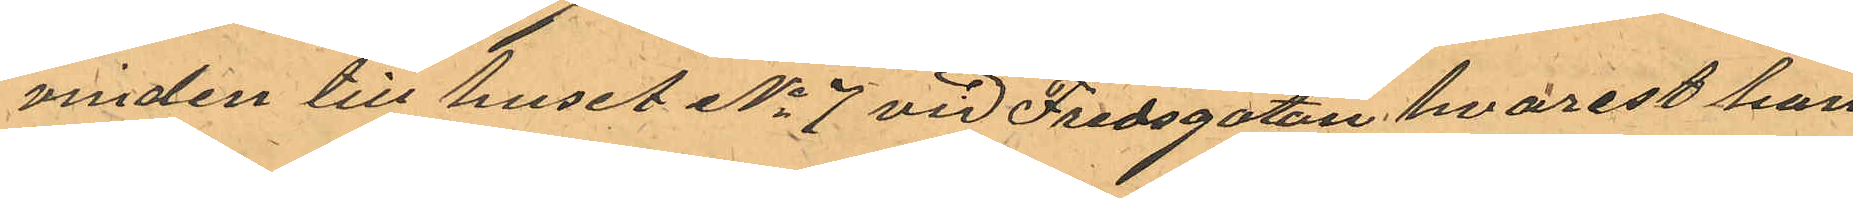vinden till huset No 7 vid Fredsgatan hvarest han
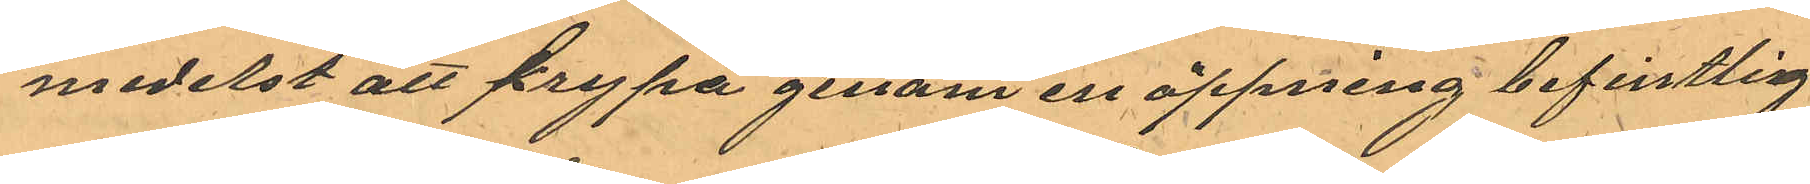medelst att krypa genom en öppning befintlig
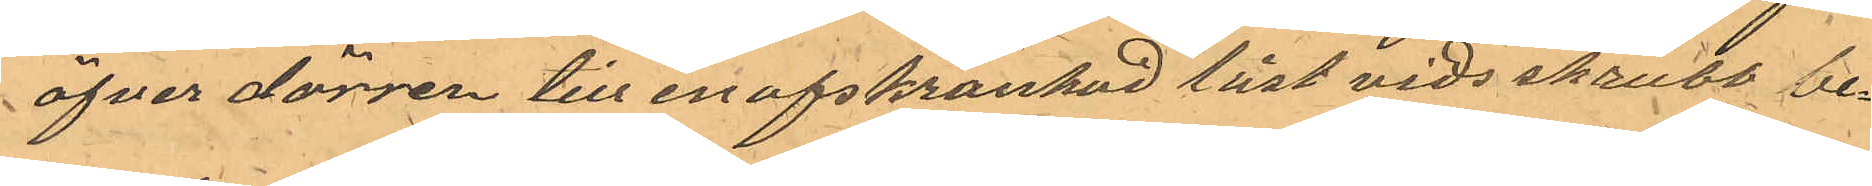öfver dörren till en afskrankad låst vids skrubb be¬
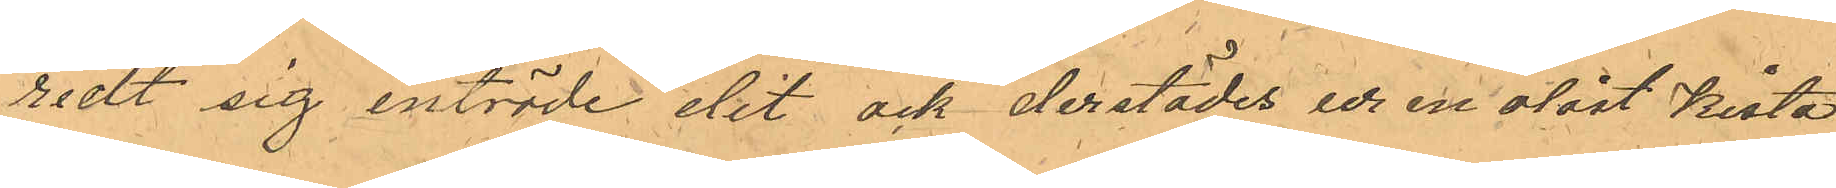redt sig inträde dit ock derstädes ur en olåst kista
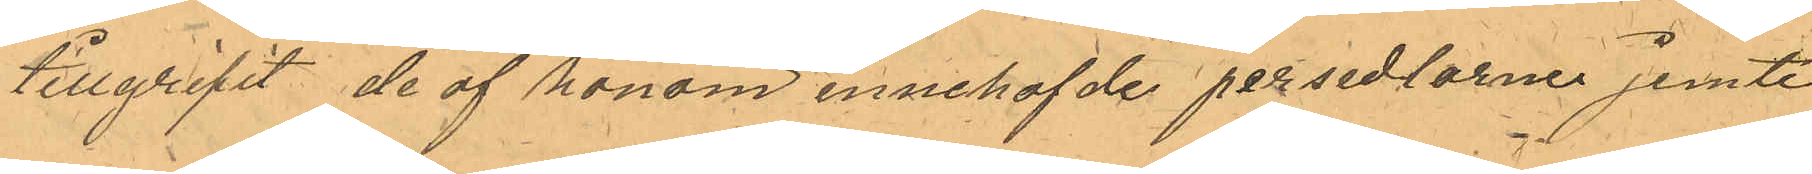tillgripit de af honom innehafde persedlarne jemte
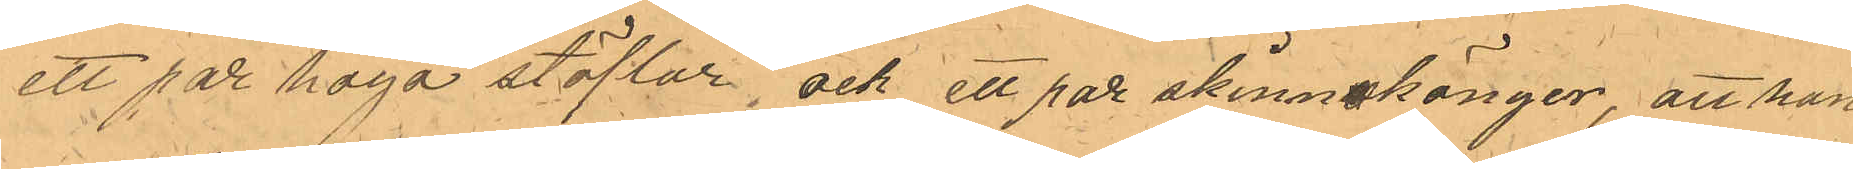ett par höga stöflar, och ett par skinnskängor, att han
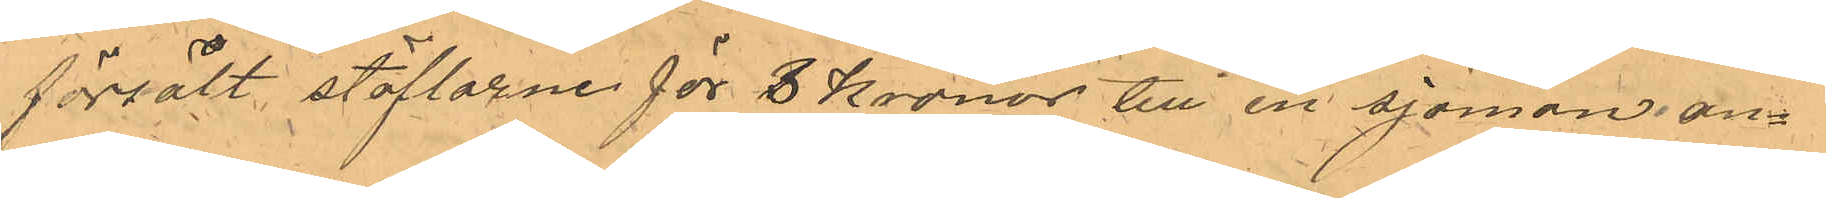försålt stöflarne för 3 Kronor till en sjöman an¬
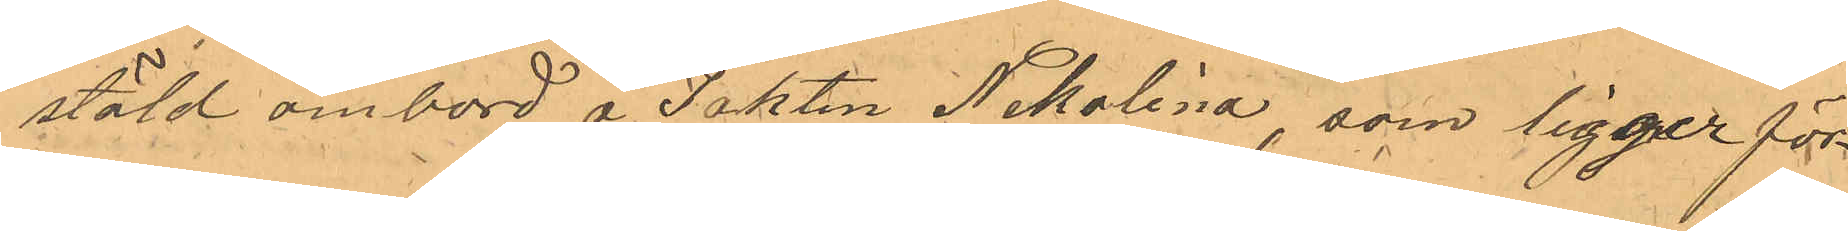stäld ombord å Jakten Nikolina, som ligger för¬
